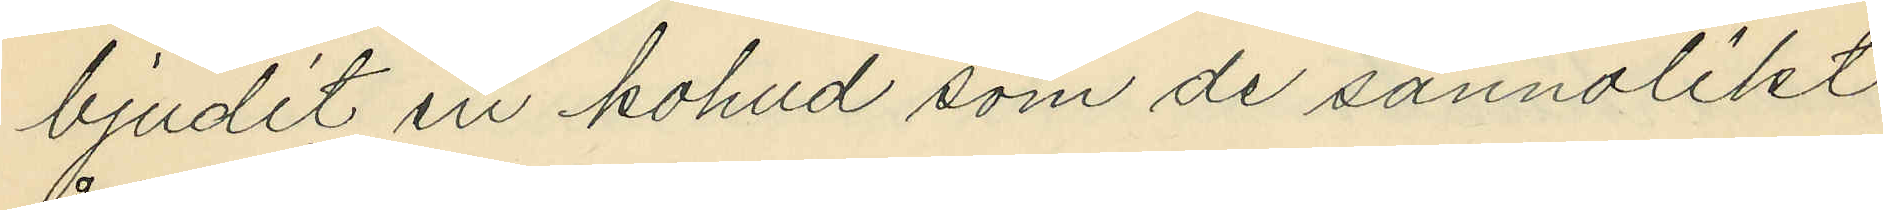bjudit en kohud som de sannolikt
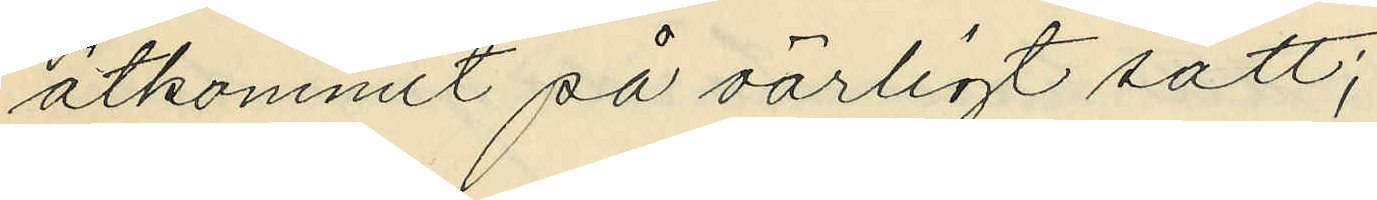åtkommit så oärligt sätt;
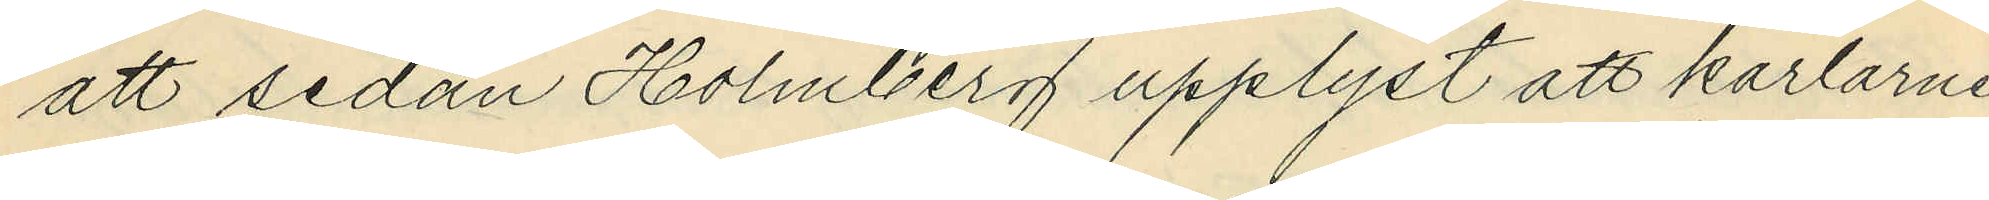att sedan Holmberg upplyst att karlarne
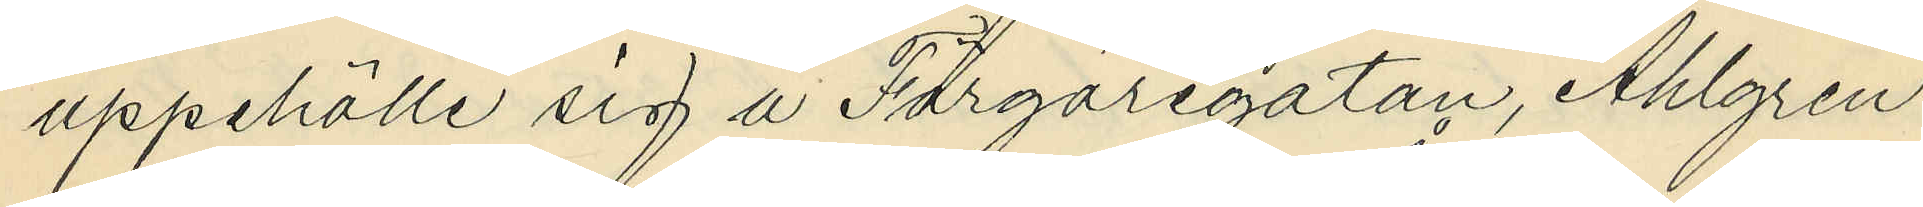uppehölle sig å Färgaregatan, Ahlgren
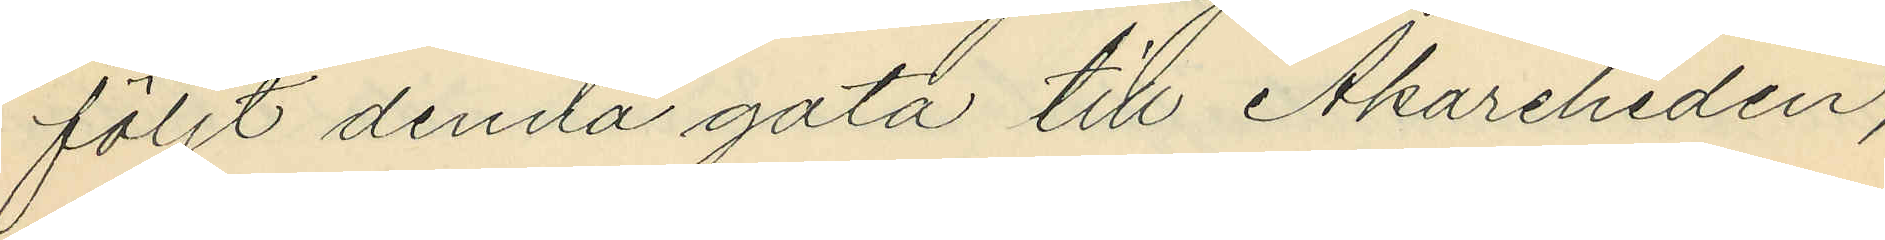följt denna gata till Åkareheden,
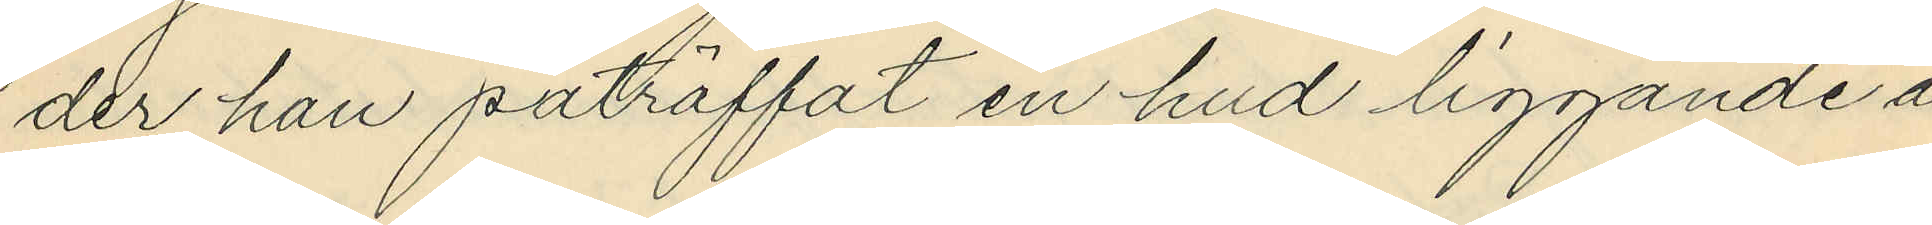der han påträffat en hud liggande å
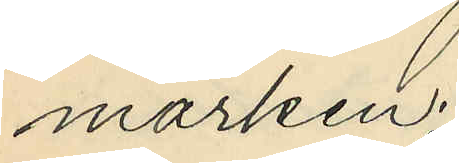marken;
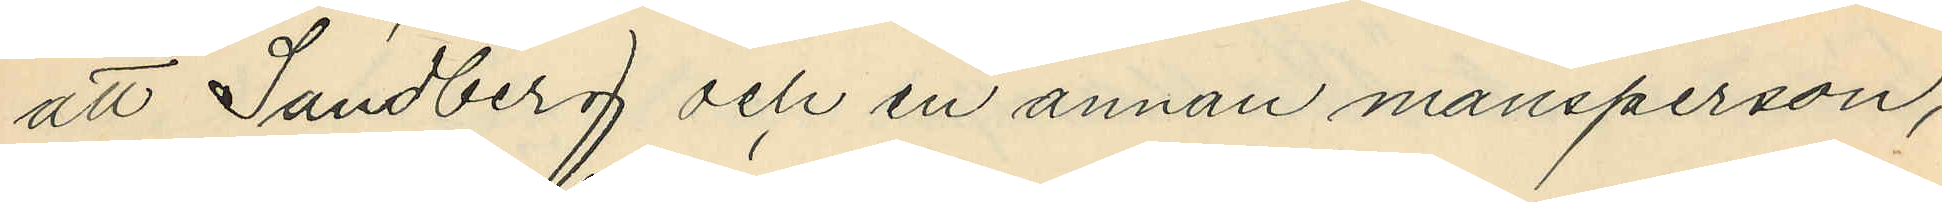att Sandberg och en annan mansperson,
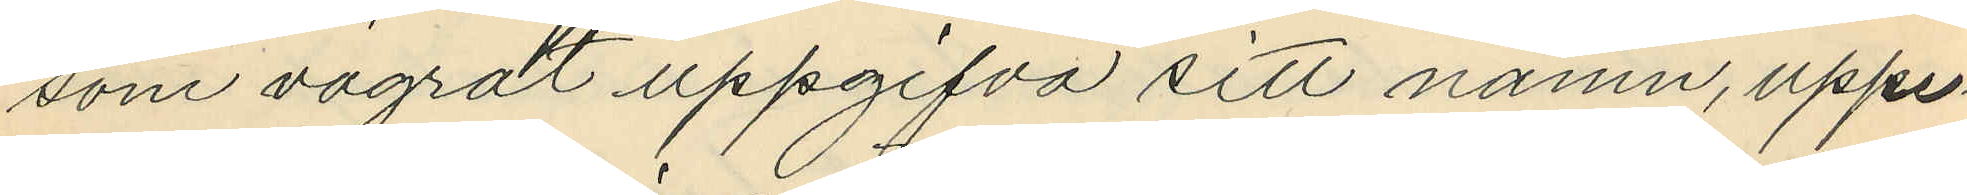som vägrat uppgifva sitt namn, uppe¬
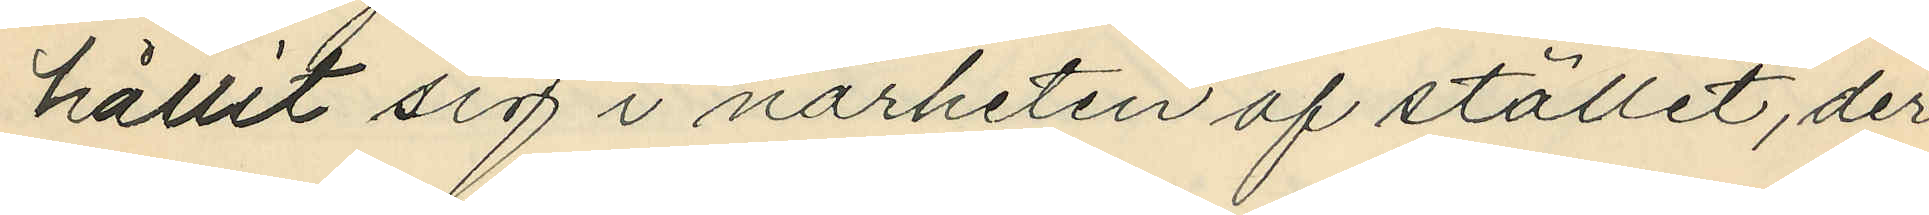hållit sig i närheten af stället, der
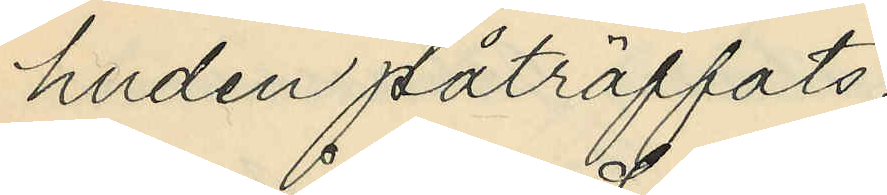huden påträffats;
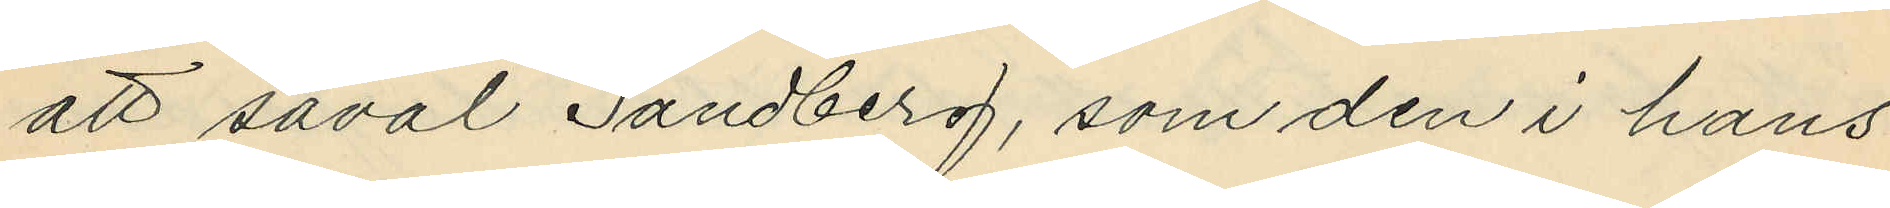att såväl Sandberg, som den i hans
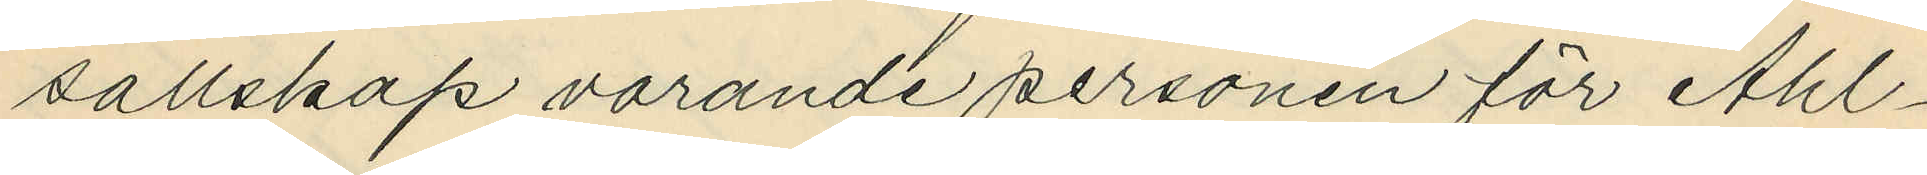sällskap varande personen för Ahl¬
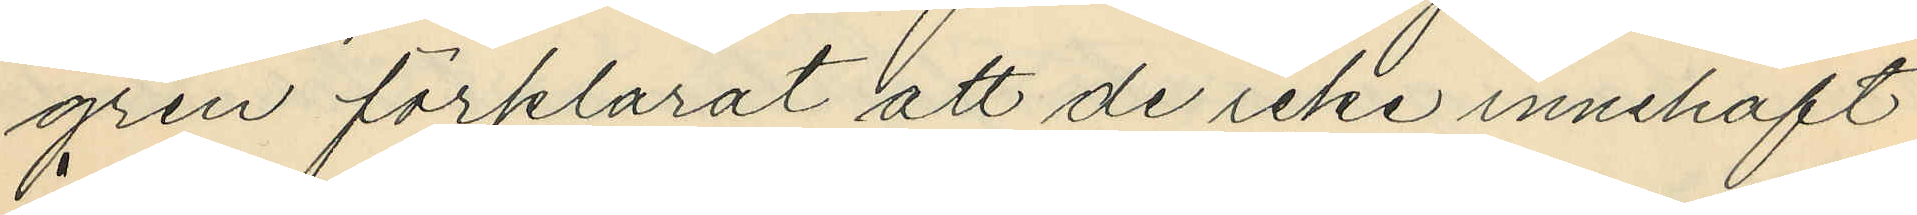gren förklarat att de icke innehaft
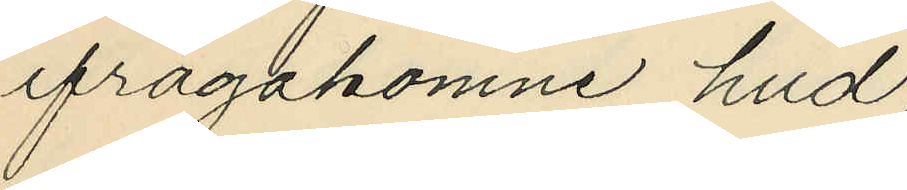ifrågakomne hud;
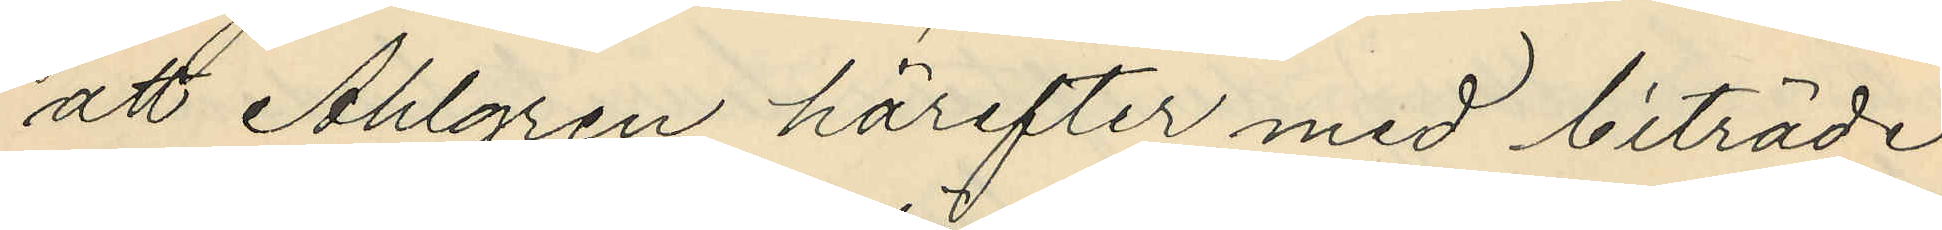att Ahlgren härefter med biträde
